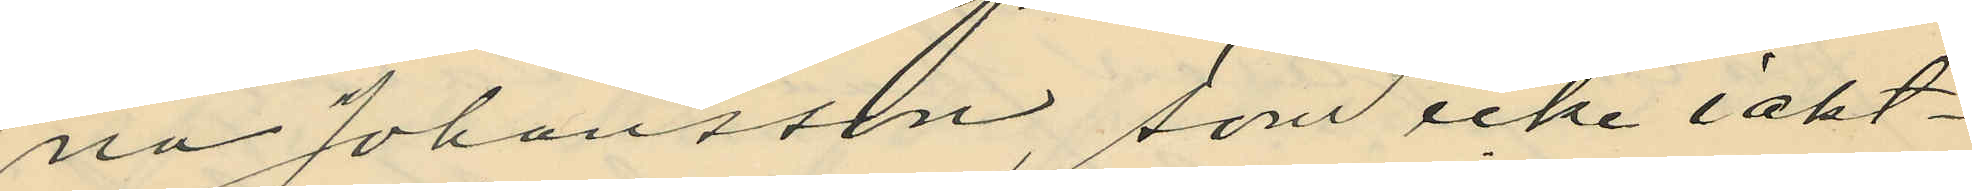na Johansson som icke iakt¬
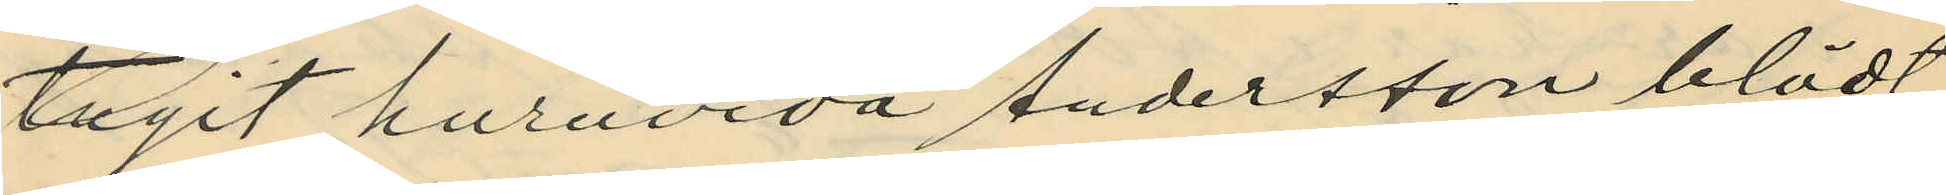tagit huruvida Andersson blödt
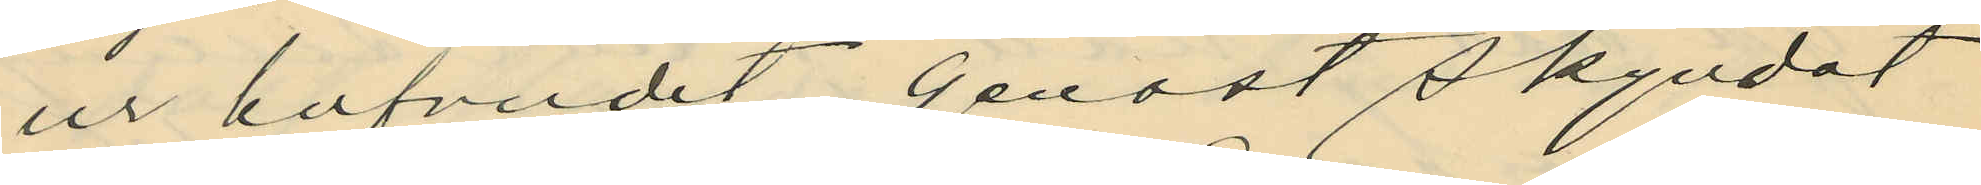ur hufvudet, genast skyndat
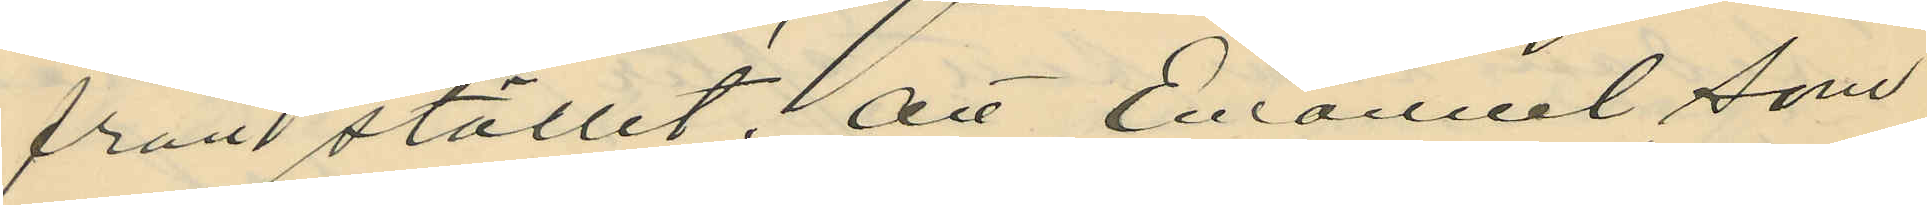från stället; att Emanuel som
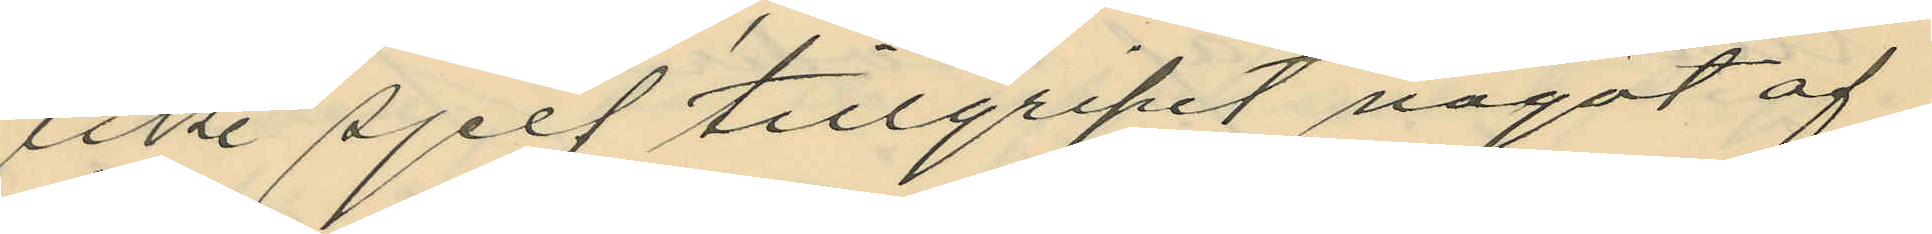icke sjelf tillgripit något af
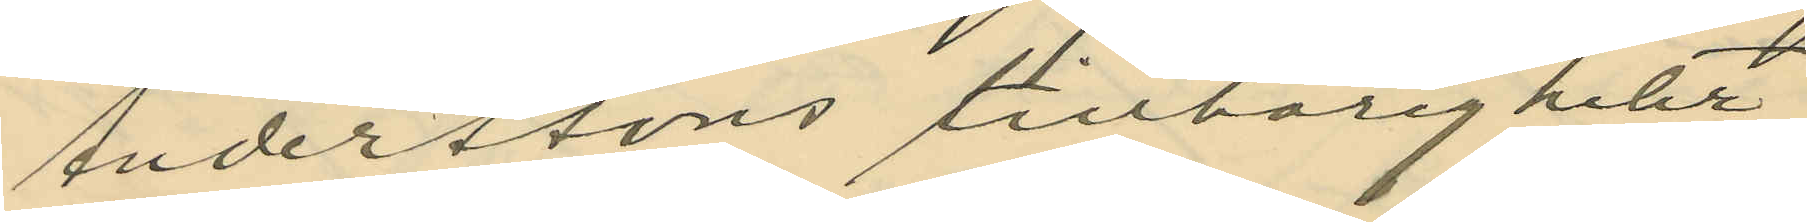Anderssons tillhörigheter
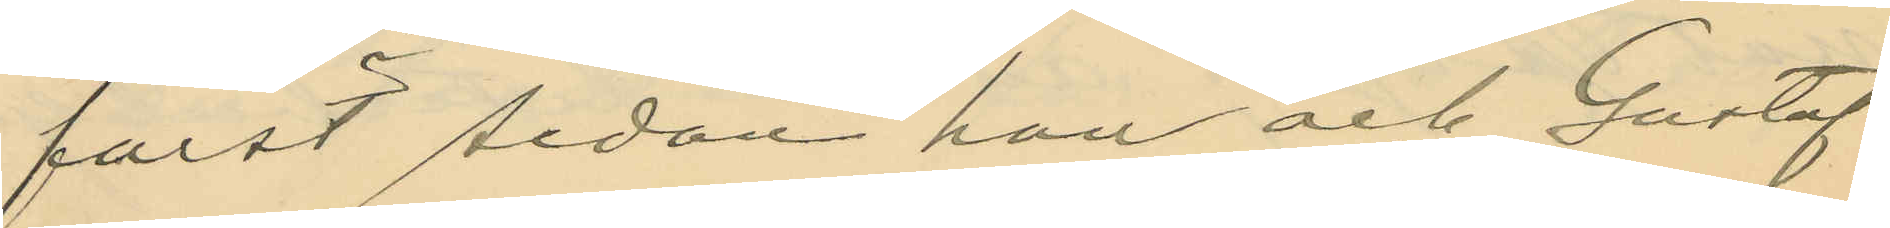först sedan han och Gustaf
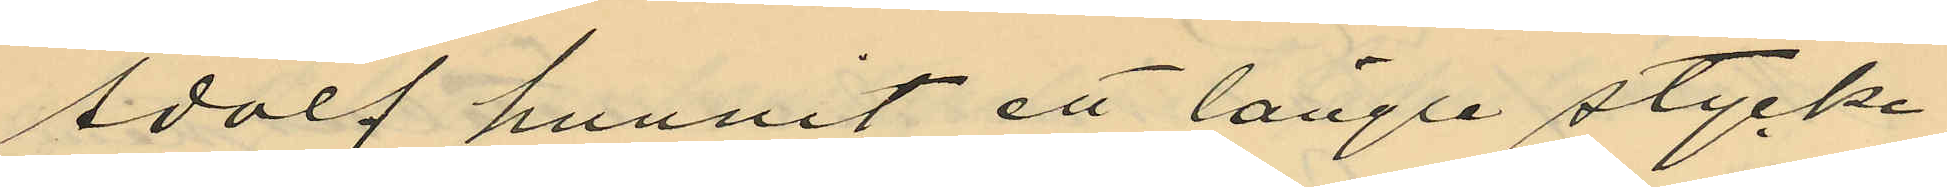Adolf hunnit ett längre stycke
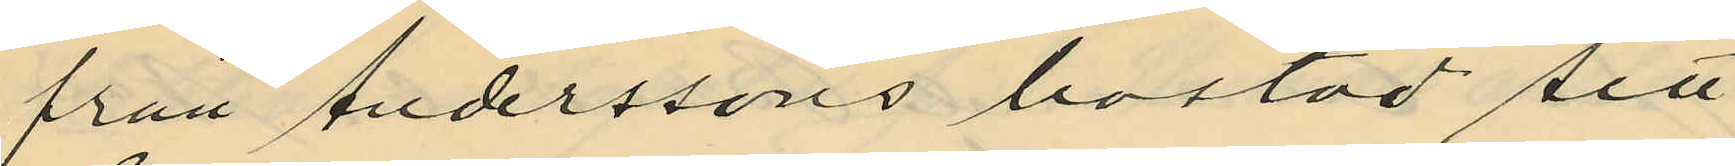från Anderssons bostad sett
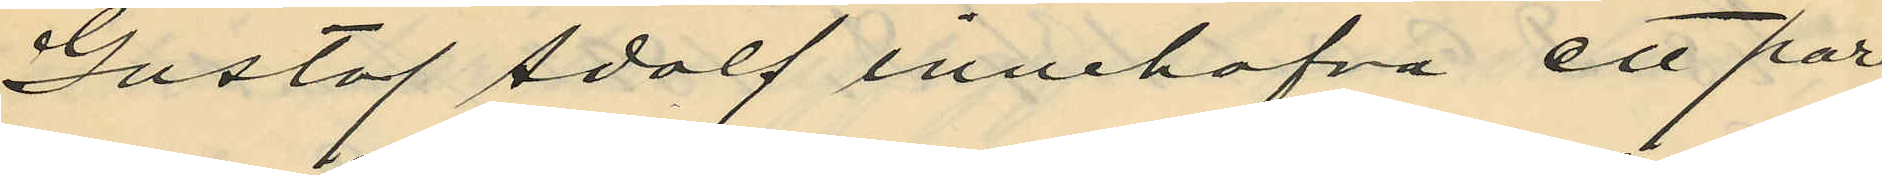Gustaf Adolf innehafva ett par
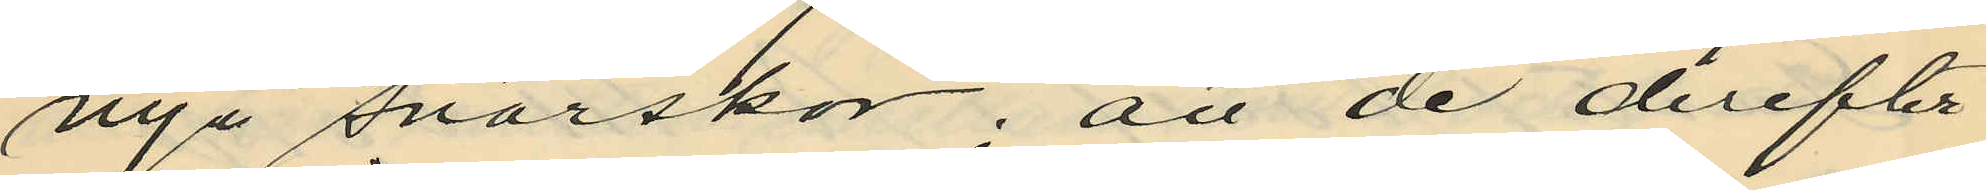nya snörskor; att de derefter
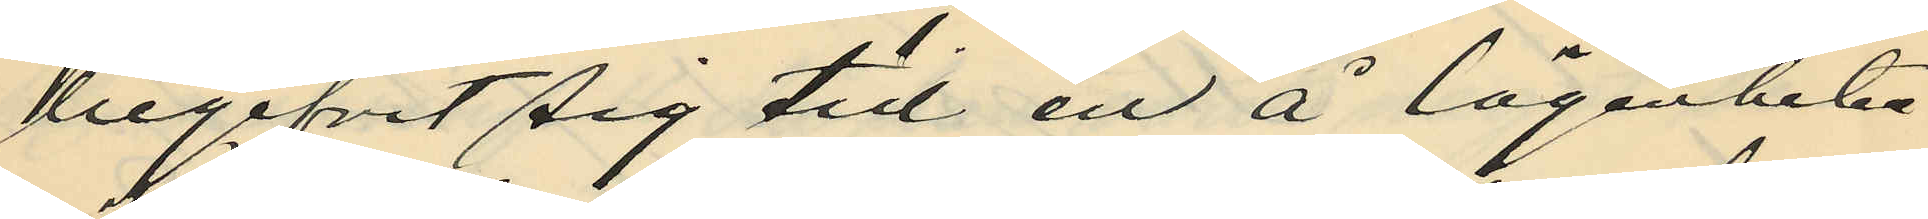begifvit sig till en å lägenheten
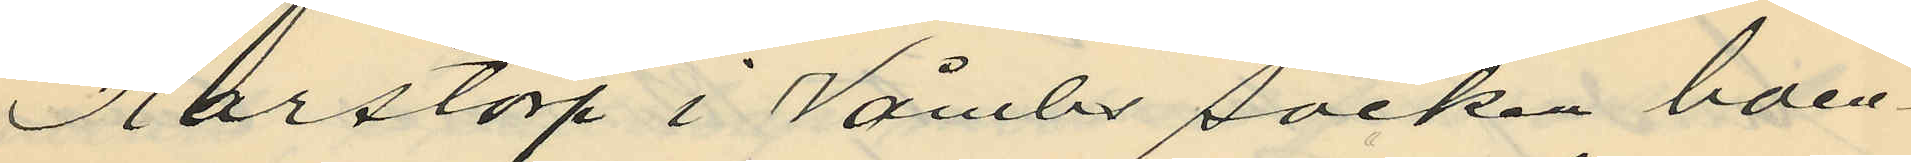Karstorp i Våmbs socken boen¬
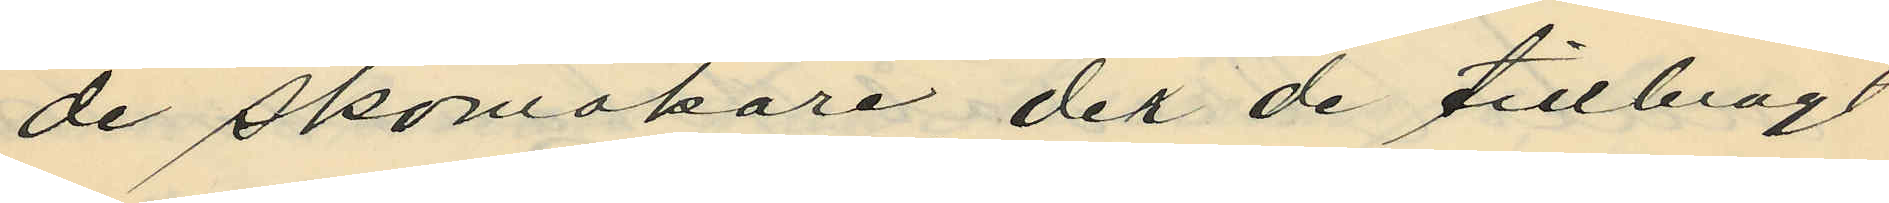de skomakare, der de tillbragt
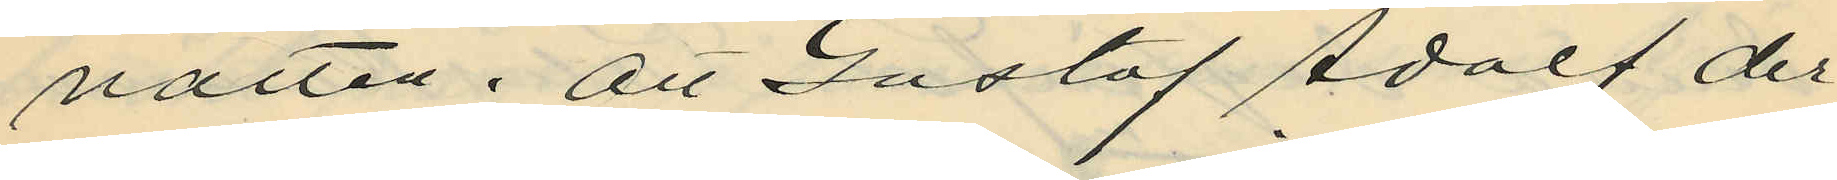natten; att Gustaf Adolf der¬
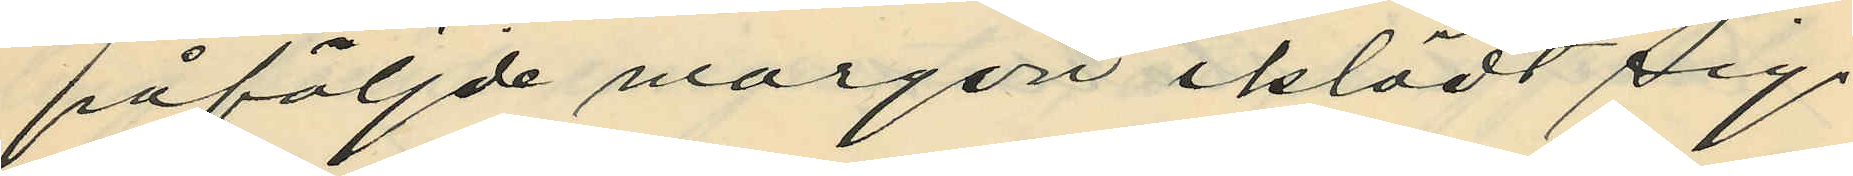påföljde morgon iklädt sig
